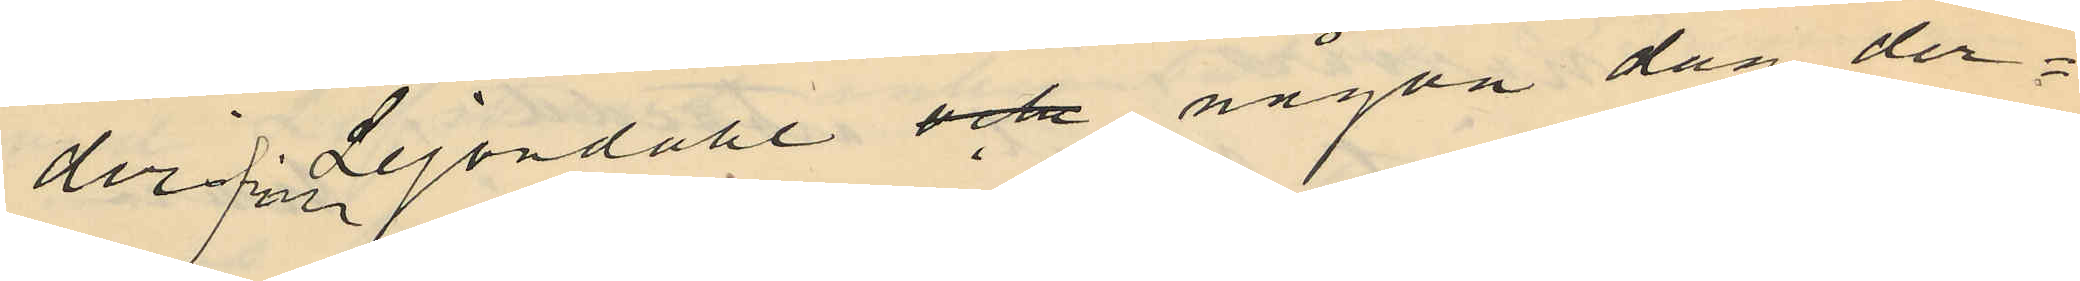derifrån Lejondahl och någon dag der¬
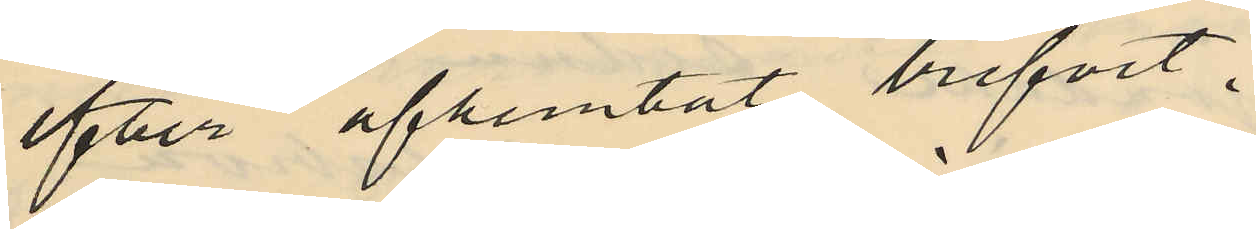efter afhemtat brefvet,
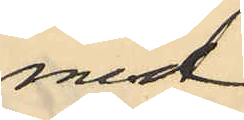med
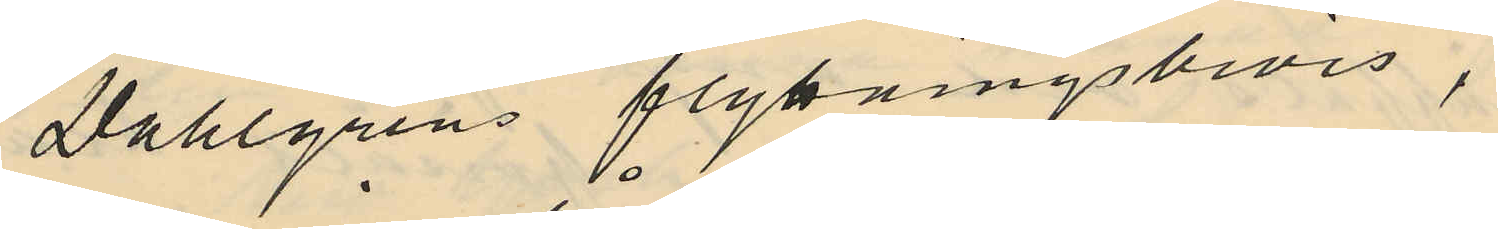Dahlgrens flyttningsbevis,
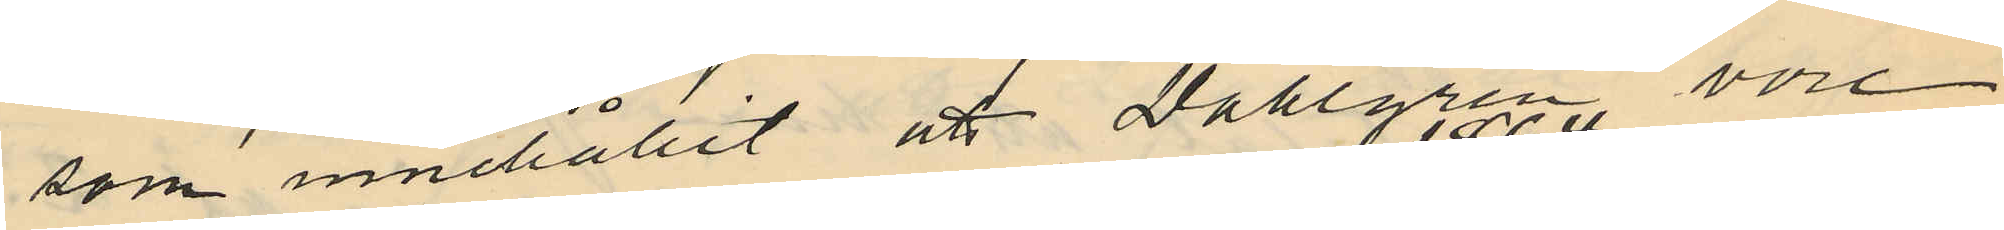som innehållit att Dahlgren vore
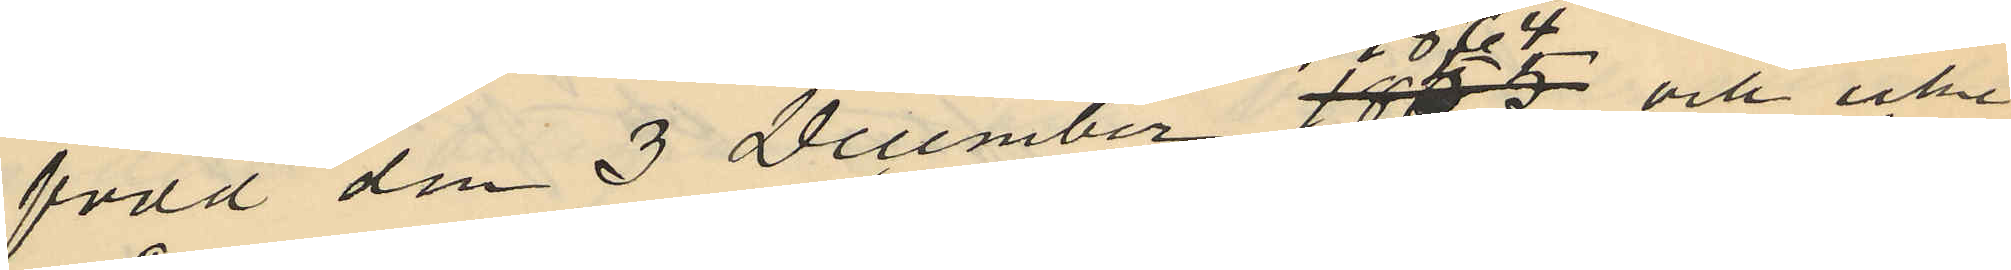född den 3 December 1864 och icke
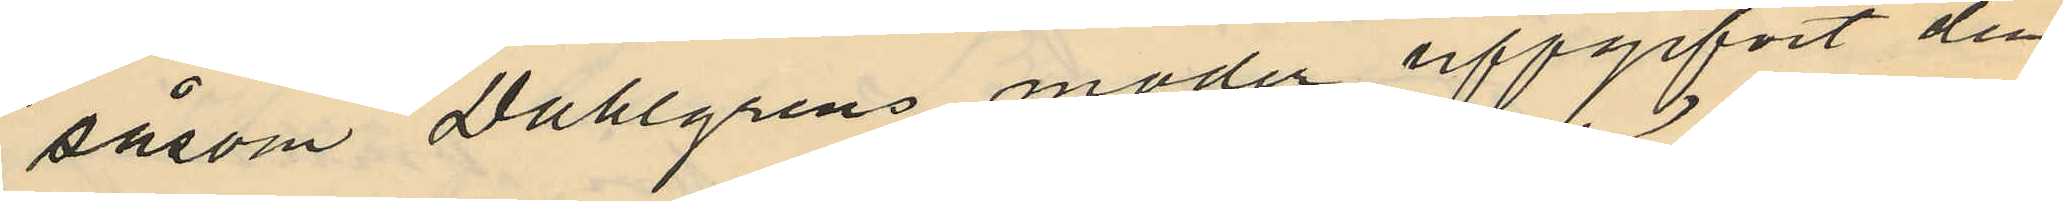såsom Dahlgrens moder uppgifvit den
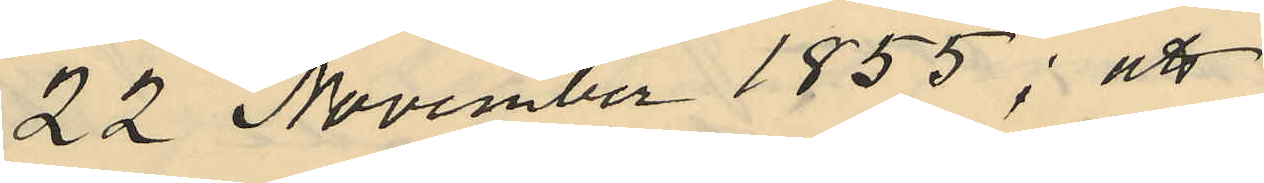22 November 1855; att
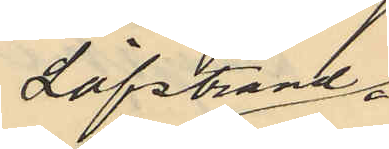Löfstrand
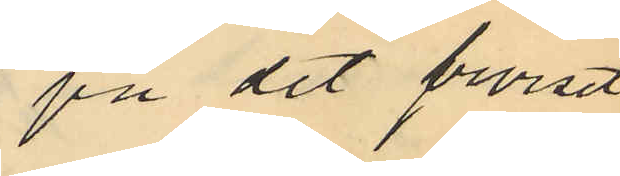på det beviset
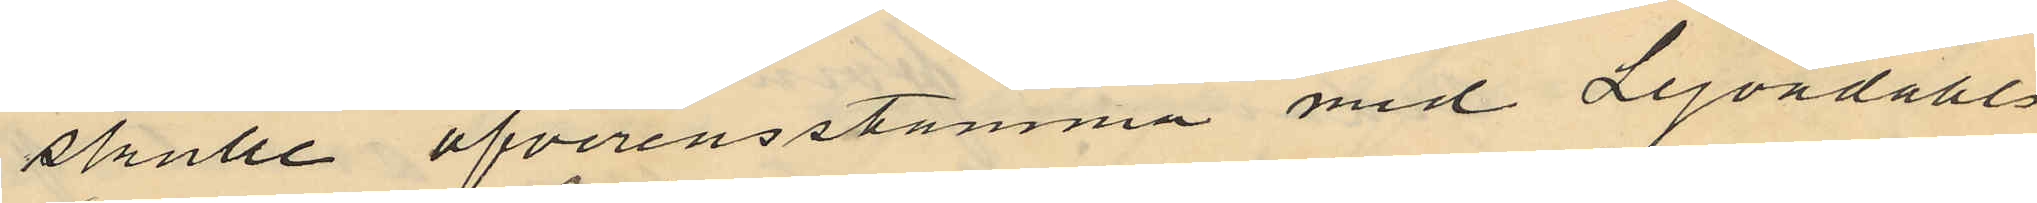skulle öfverensstämma med Lejondahls
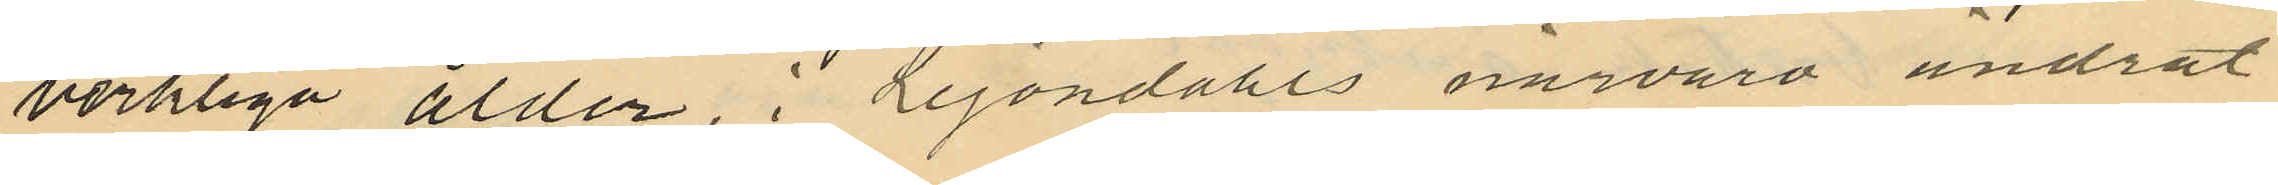verkliga ålder, i Lejondahls närvaro ändrat
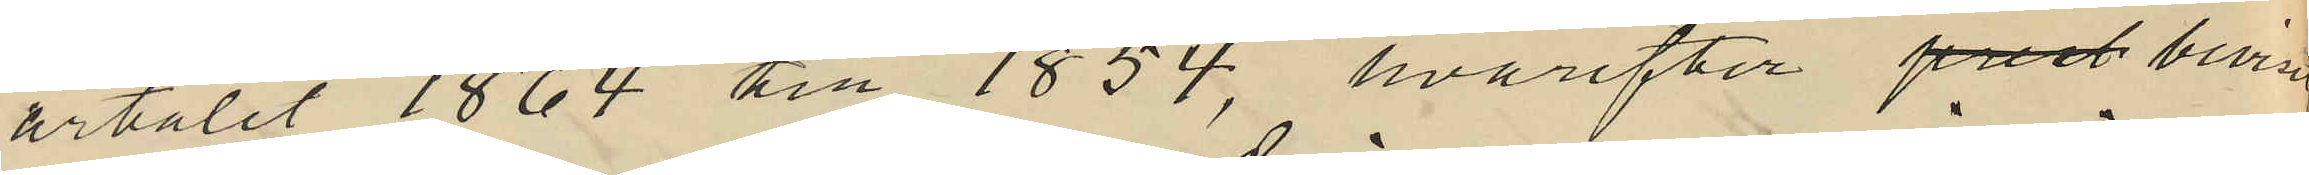årtalet 1864 till 1854, hvarefter prest beviset
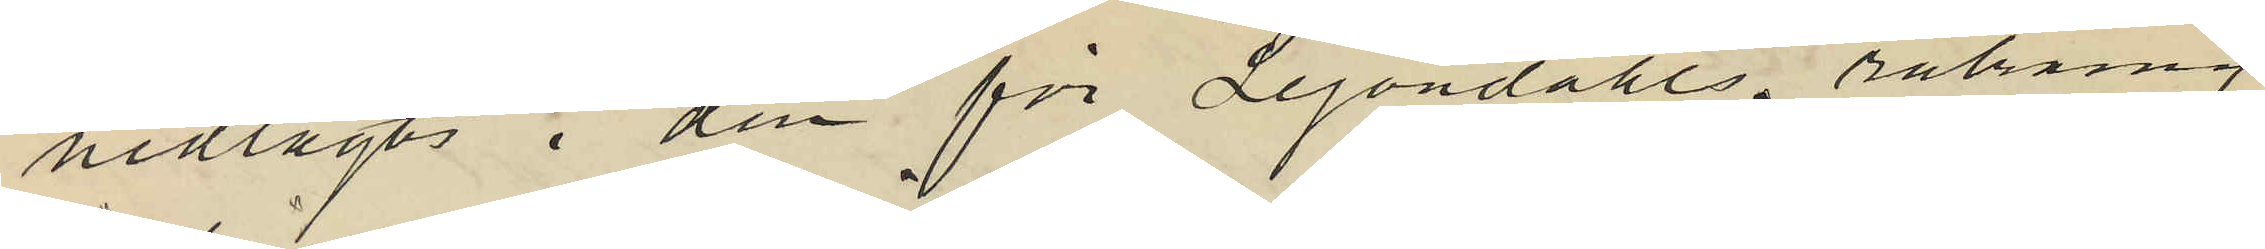nedlagts i den för Lejondahls räkning
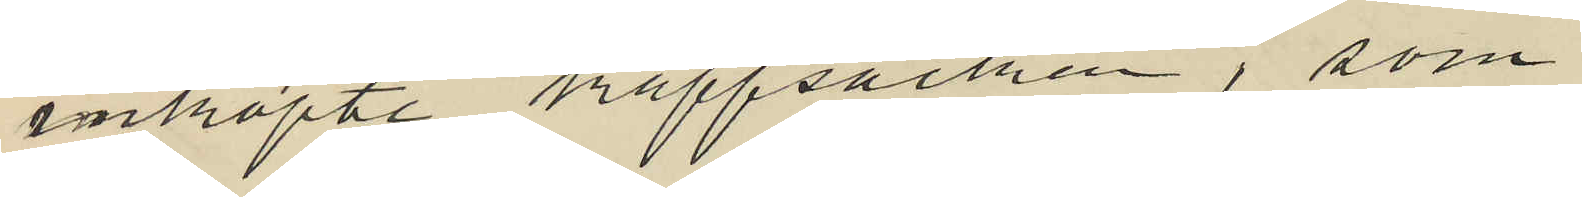inköpte kappsäcken, som
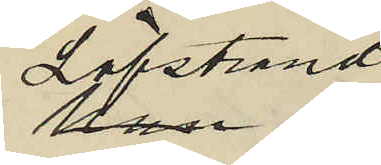Löfstrand
